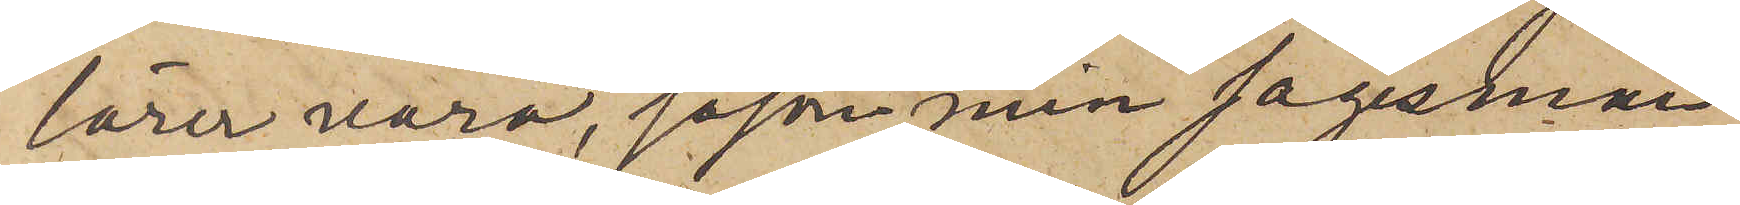lärer vara, såsom min sagesman
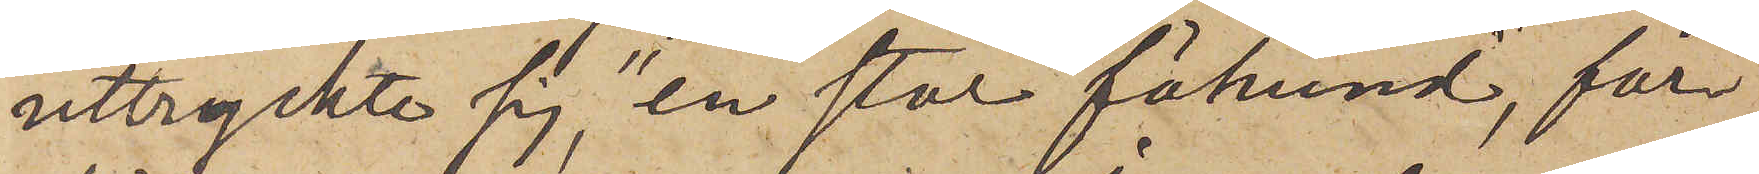uttryckte sig, "en stor fähund", för¬
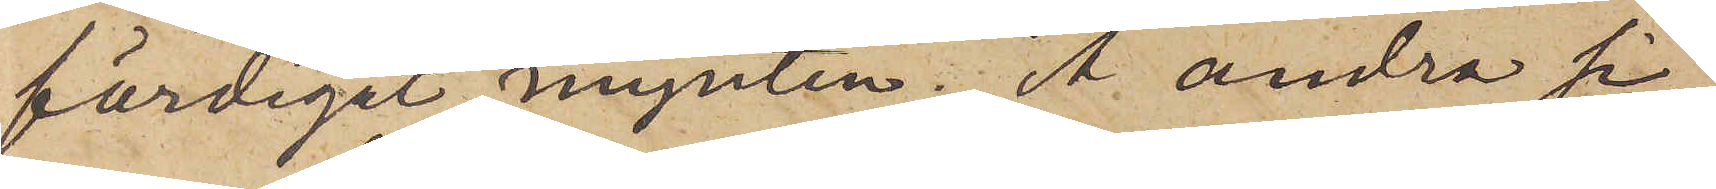färdigat mynten. Å. andra si¬
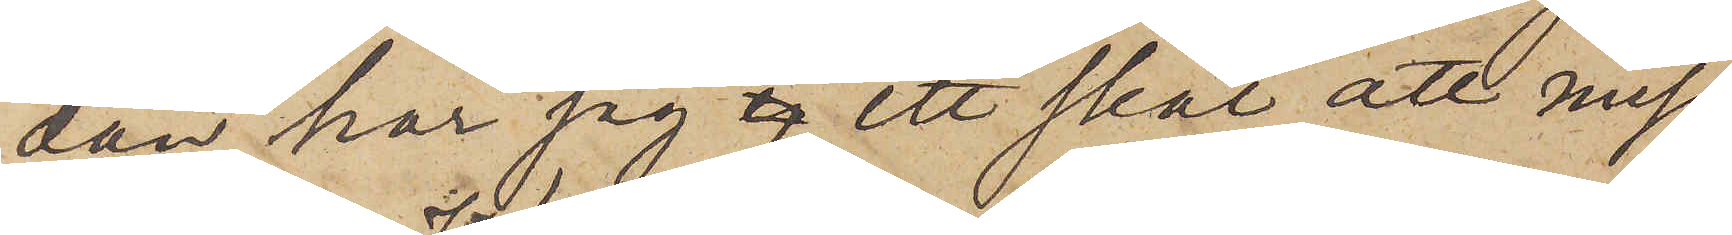dan har jag  ett skäl att miss¬
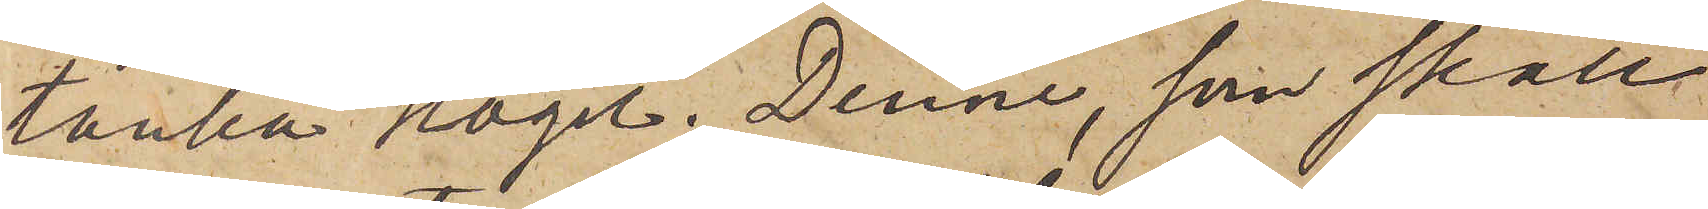tänka Högel. Denne, som skall
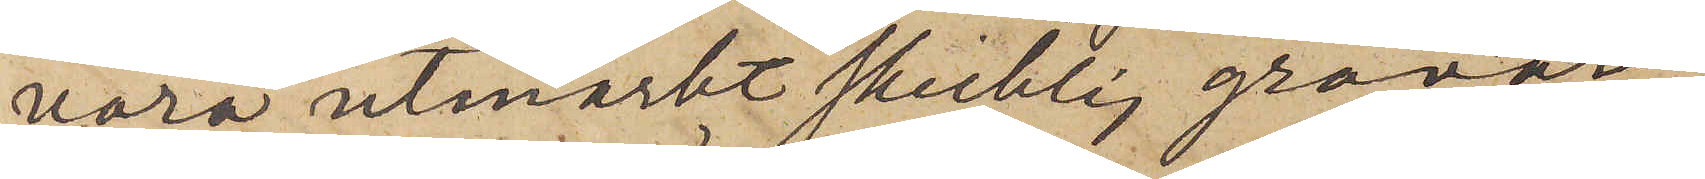vara utmärkt skicklig gravör
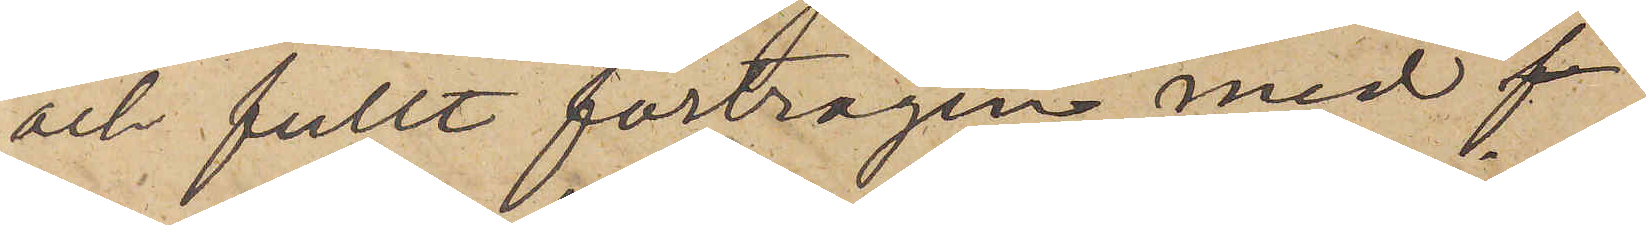och fullt förtrogen med 
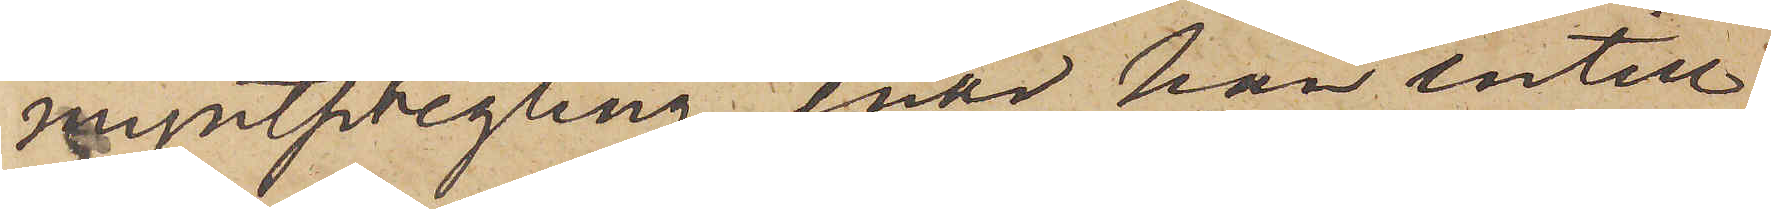myntpregling, enär han intill
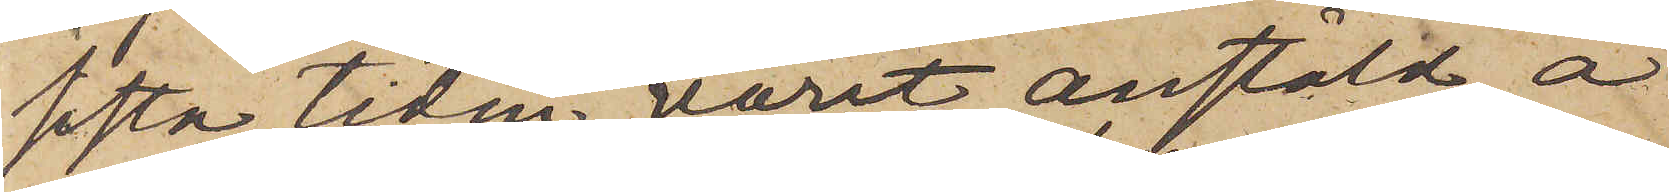sista tiden varit anstäld å
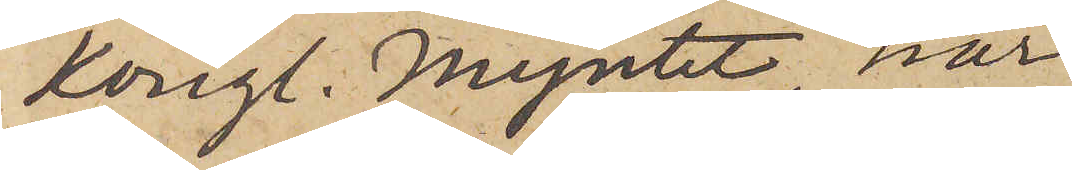Kongl. Myntet, har
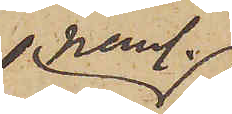neml.
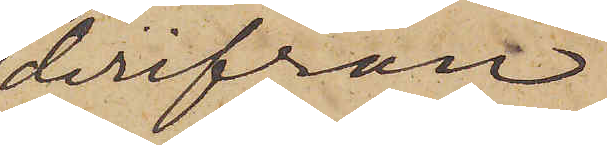derifrån
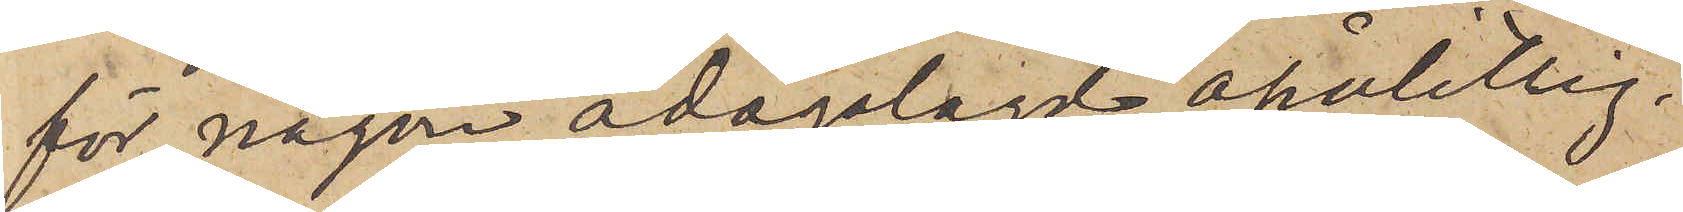för någon ådagalagd opålitlig¬
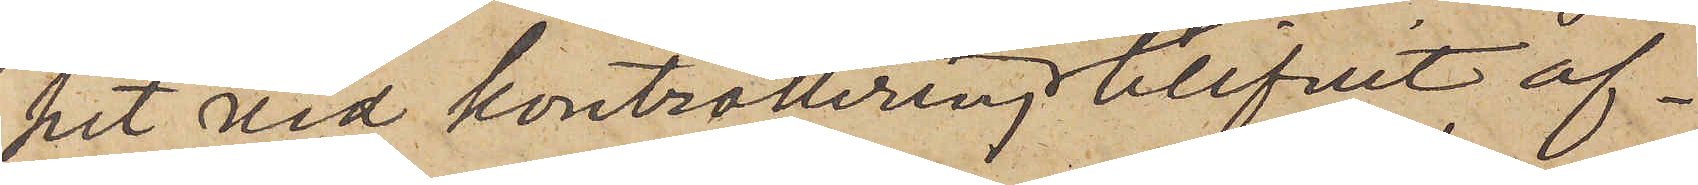het vid kontrollering blifvit af¬
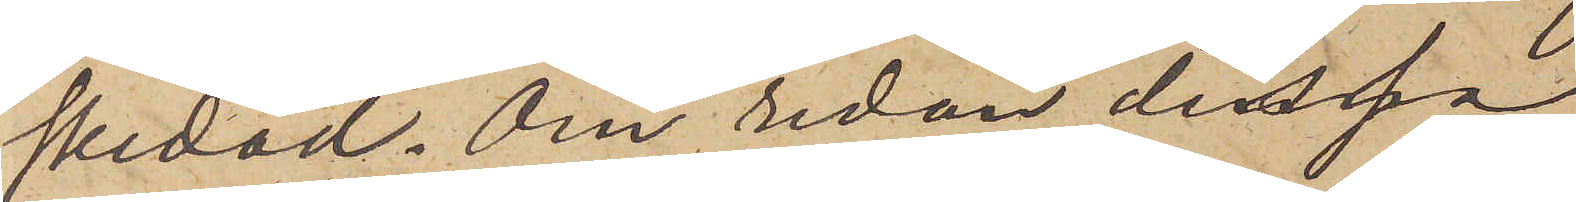skedad. Om redan dessa
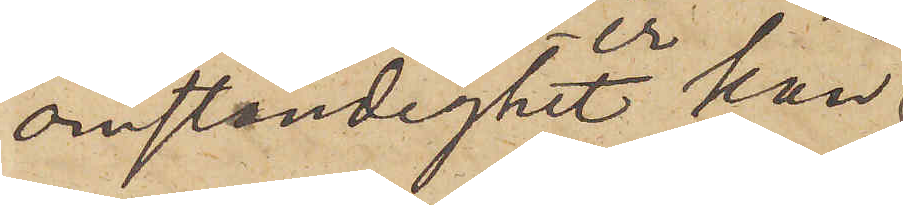omständigheter kun¬
